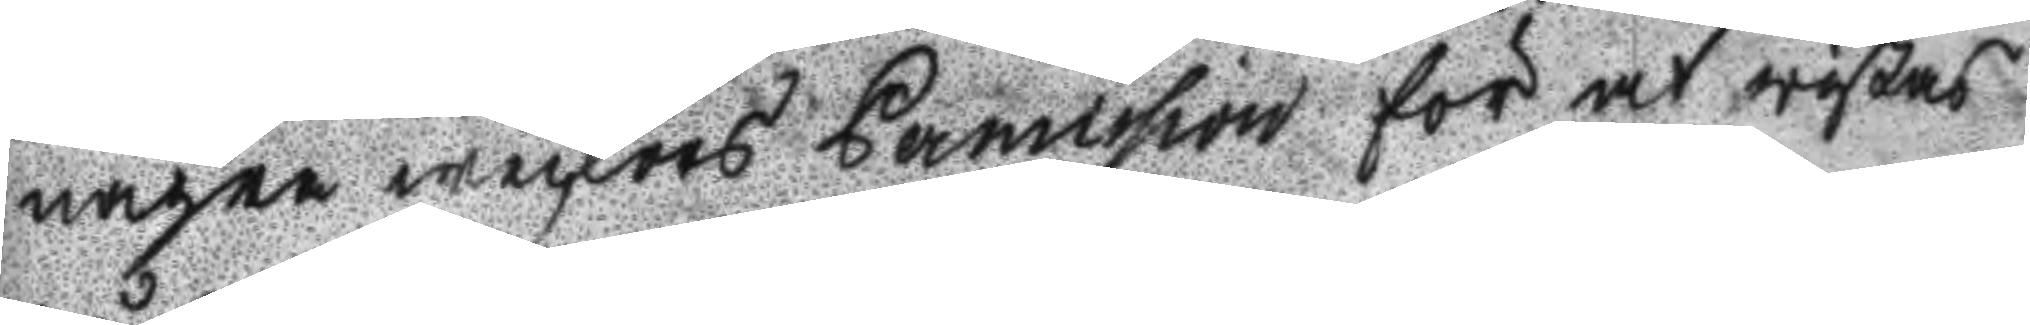några weckors Permission för at wistas
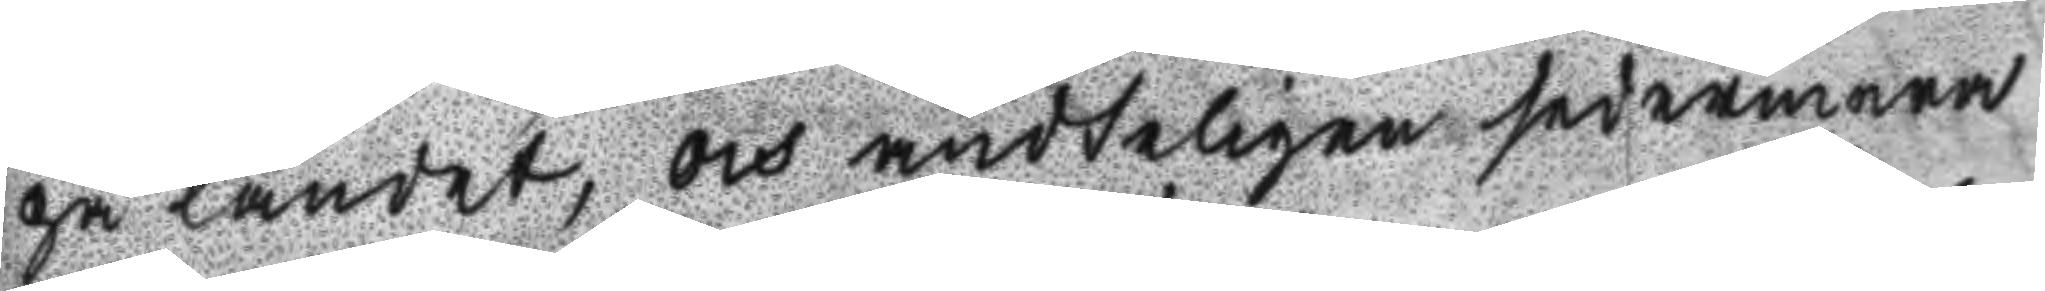på landet, och ändteligen sedermera
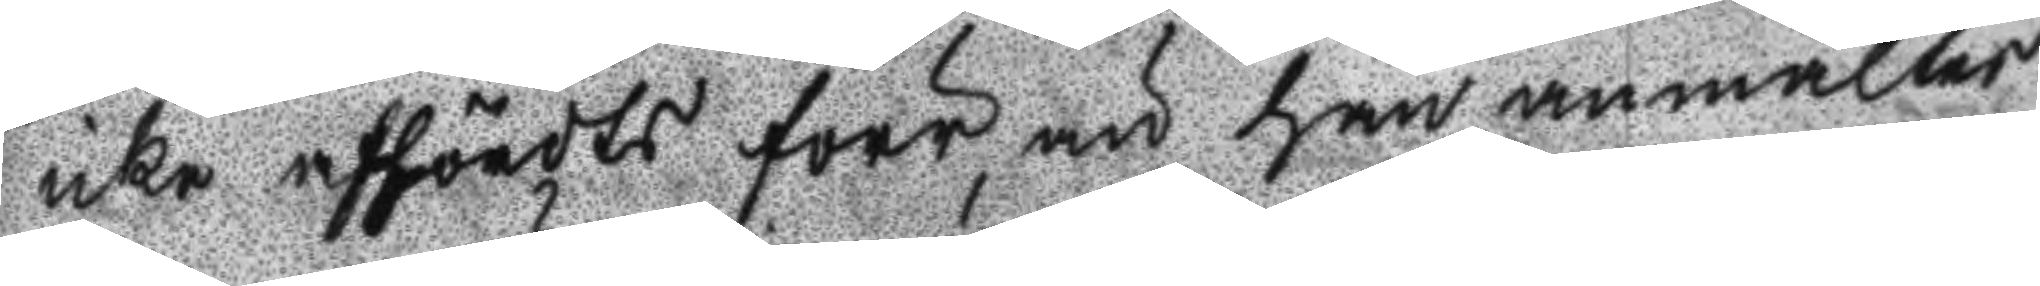icke afhördts förr än han anmältes
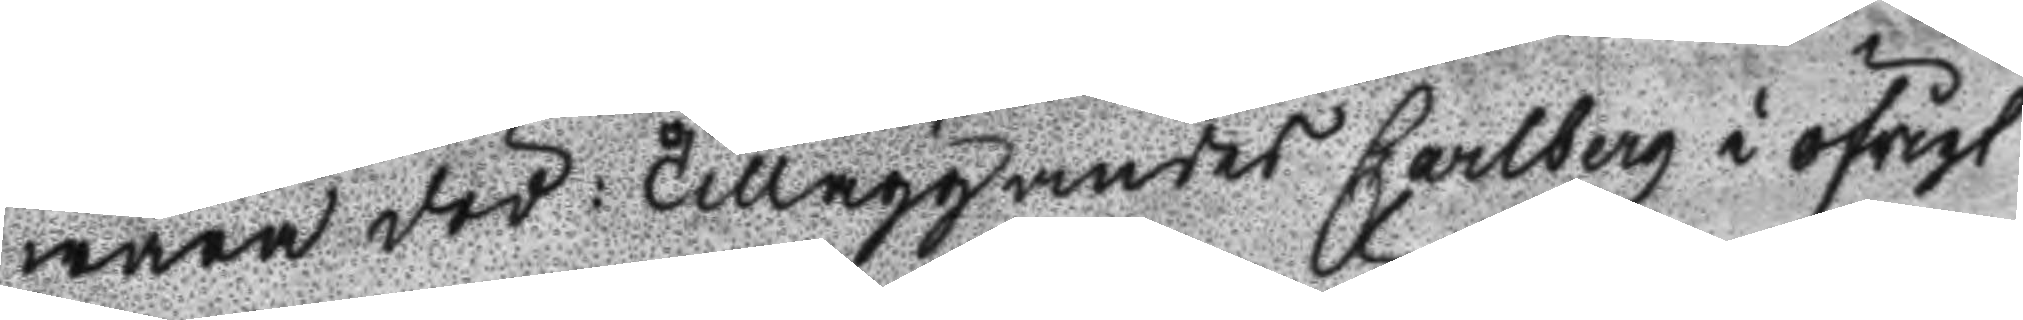wara död: Tilläggandes Carlberg i öfrigt
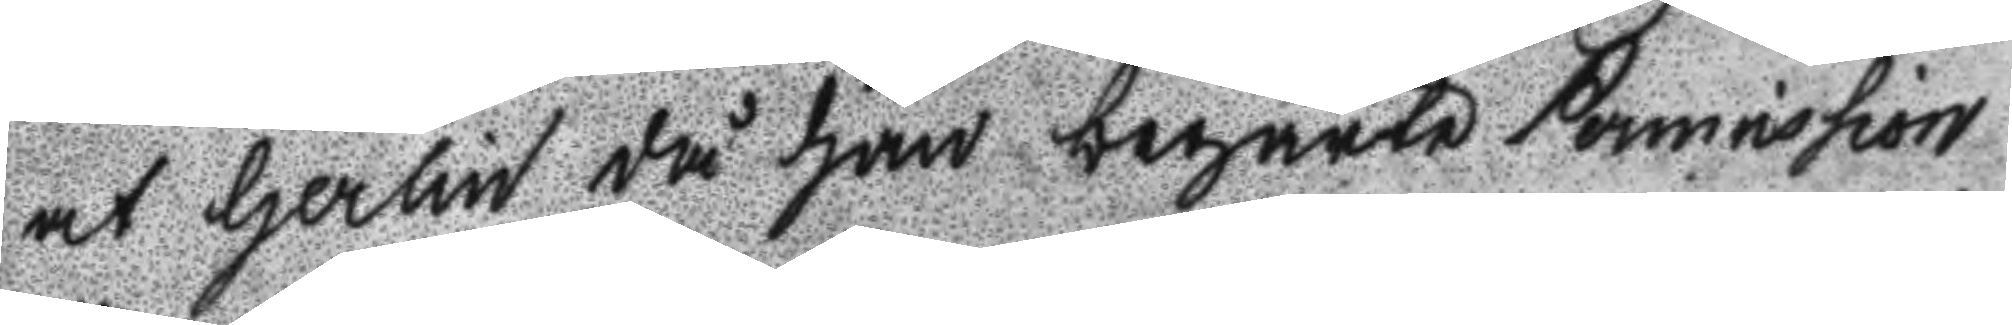at Herlin då han begärte Permission
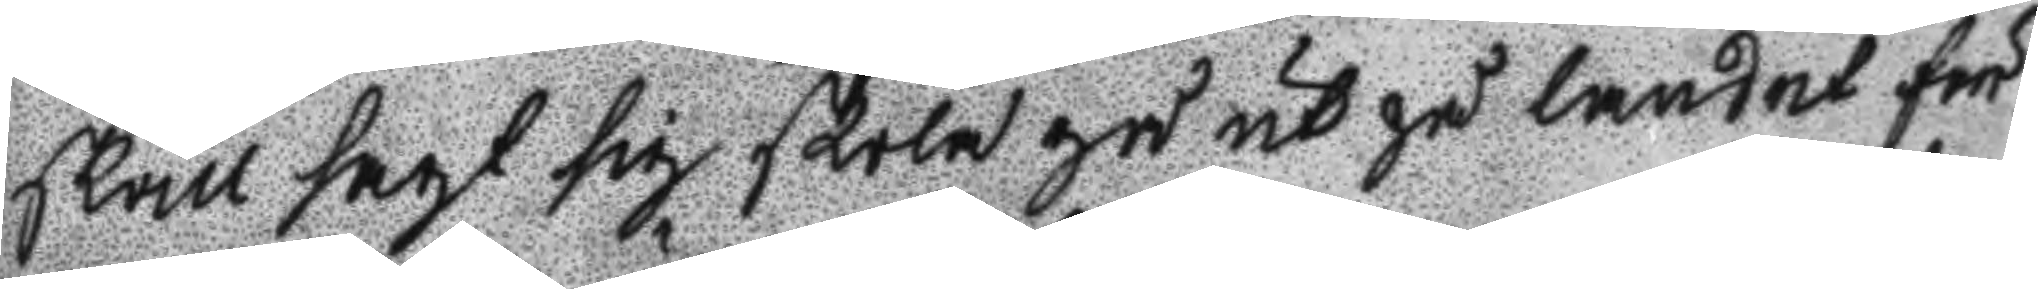skall sagt sig skola gå ut på landet för
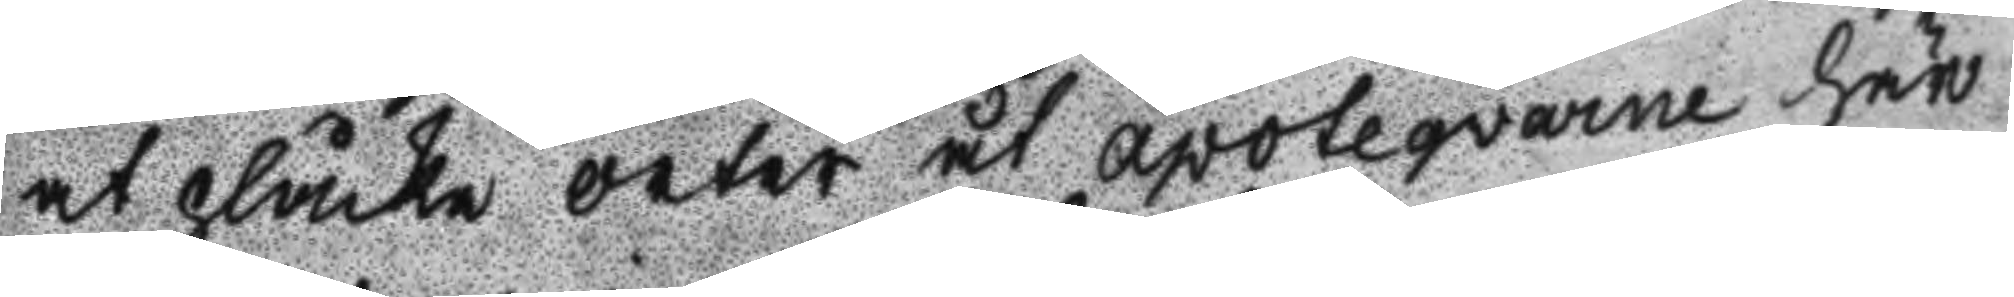at plåcka örter åt apotequarne här
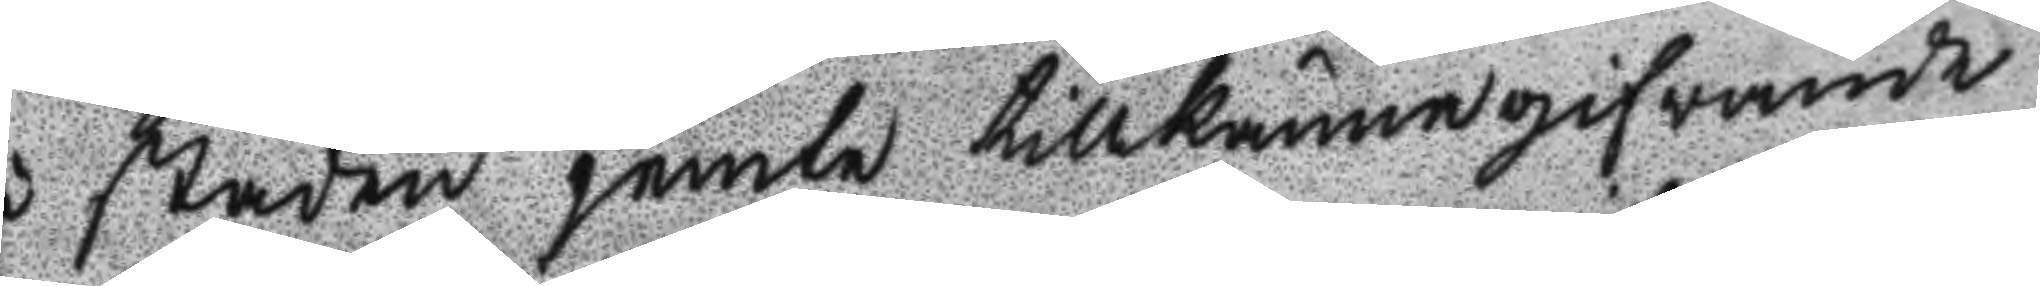i staden jemte tillkännagifwande
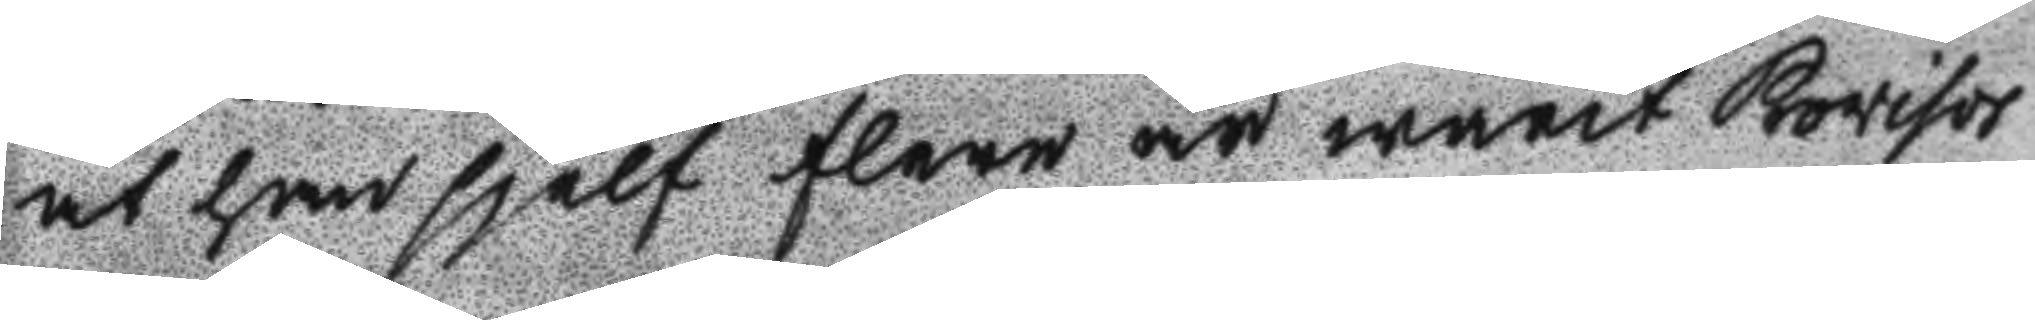at han sjelf flera år warit Revisor
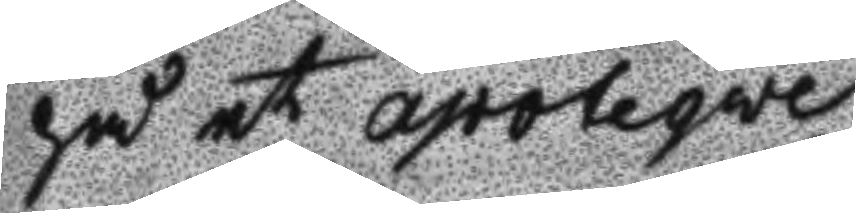på et apoteqwe.
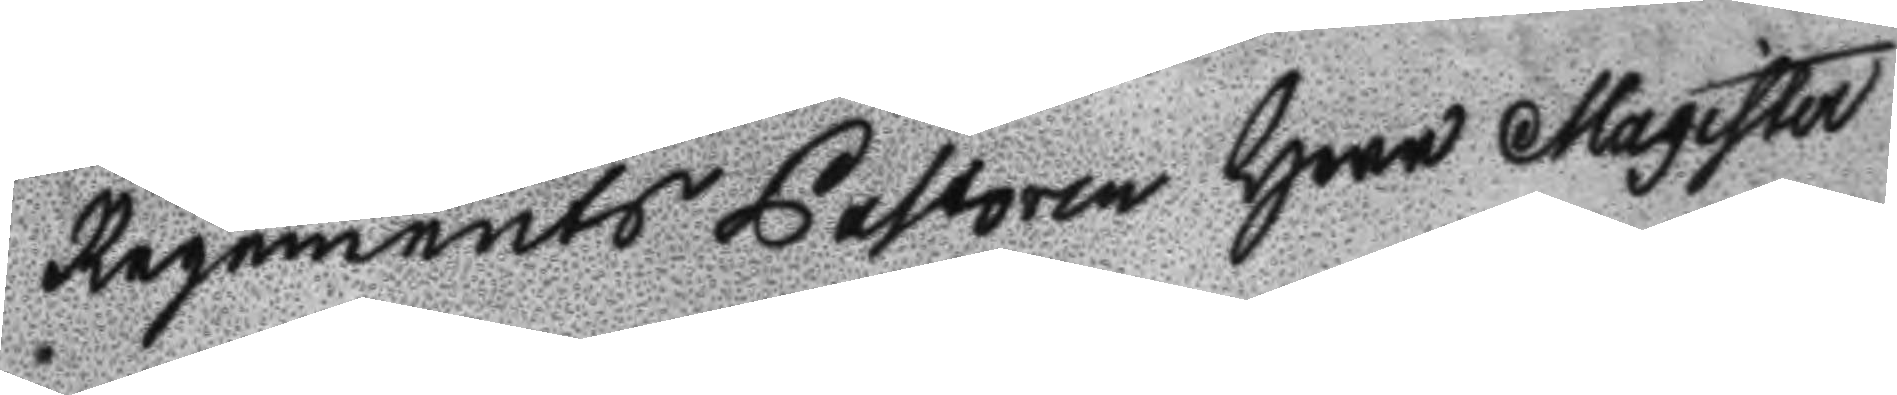regements Pastoren Herr Magister
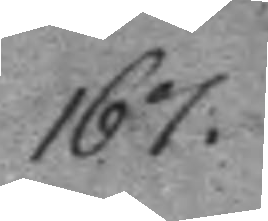167.
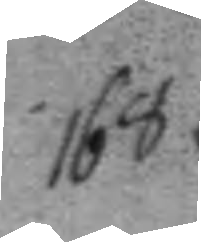168.
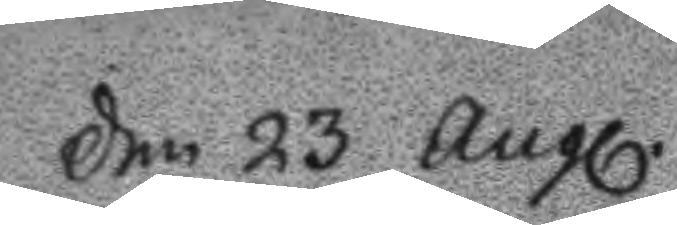Den 23 Augl.
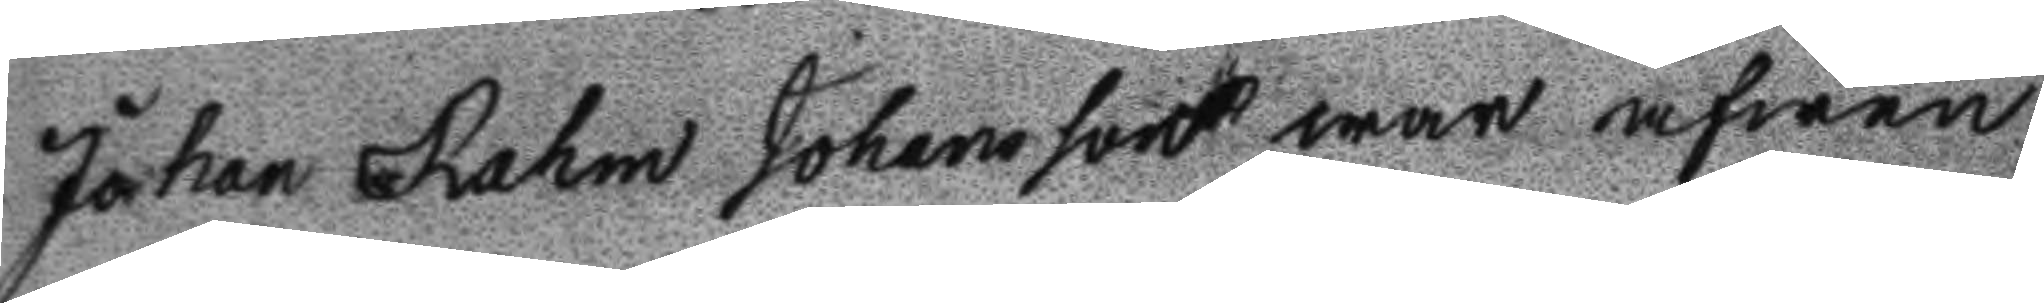Johan Rahm Johansson war äfwen
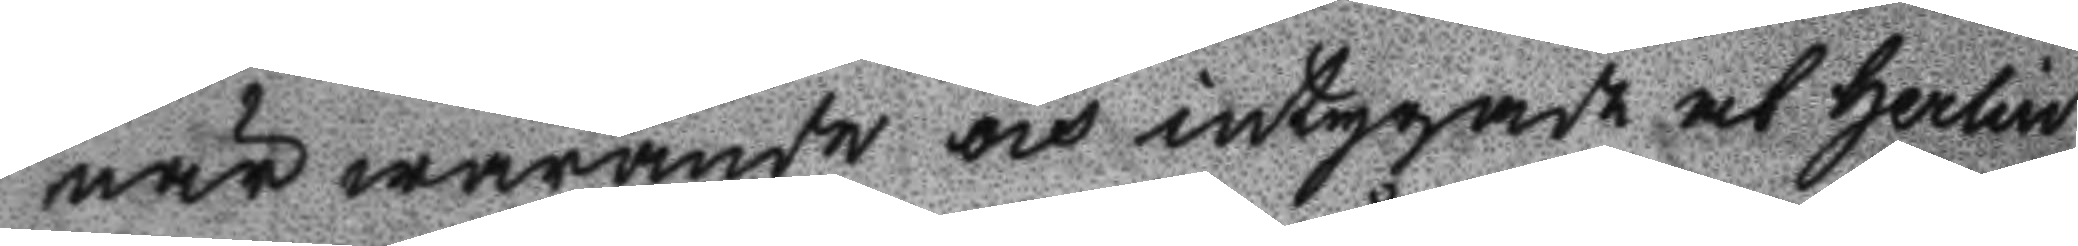närwarande och intygade at Herlin
